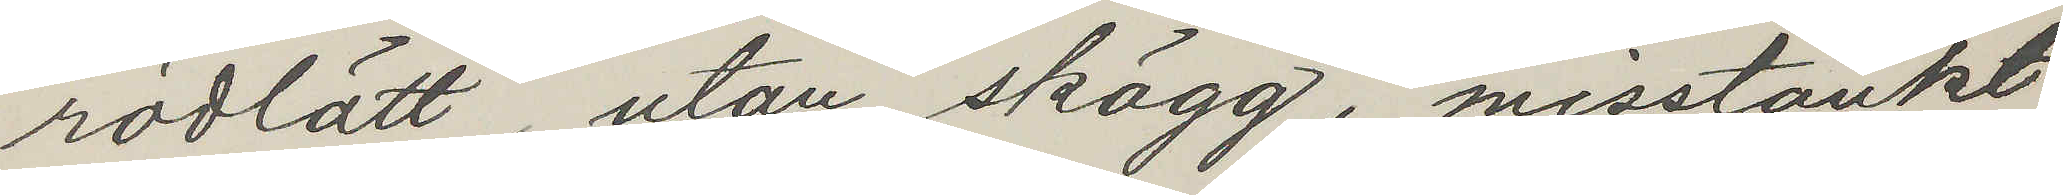rödlätt, utan skägg, misstänkt
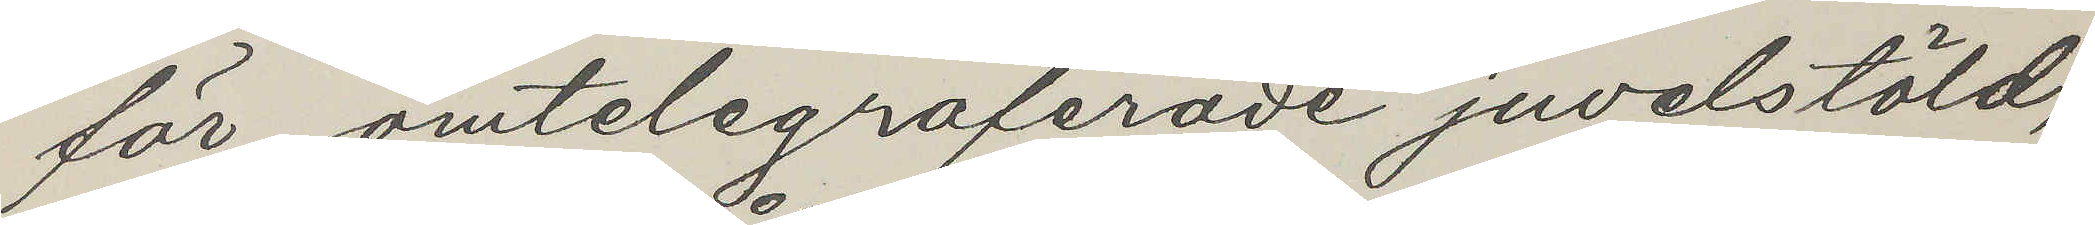för omtelegraferade juvelstöld,
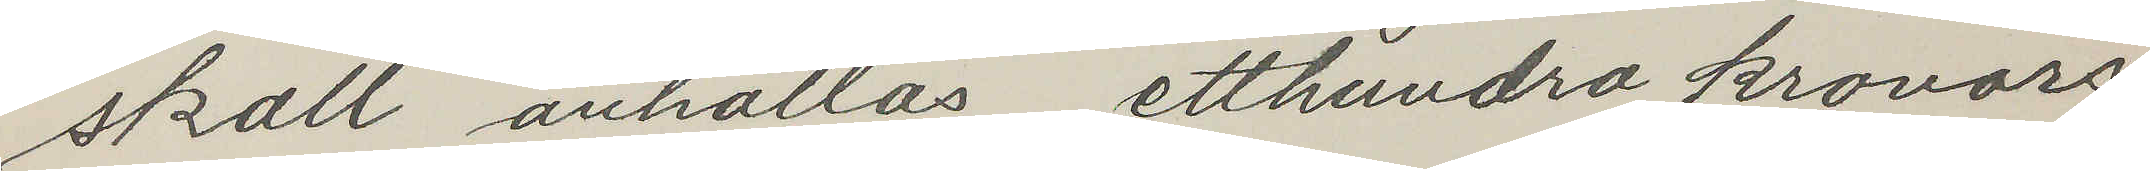skall anhållas, etthundra kronors
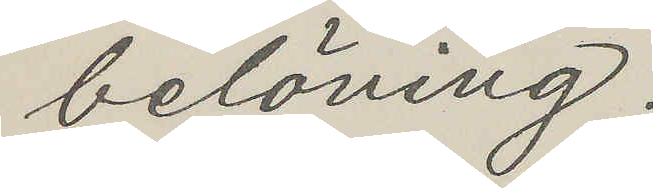belöning.
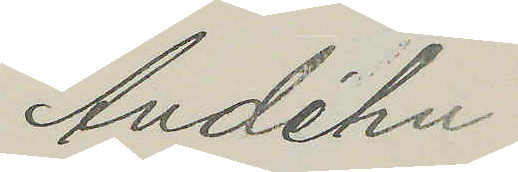Andéhn
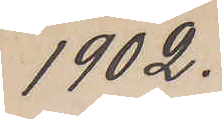1902.
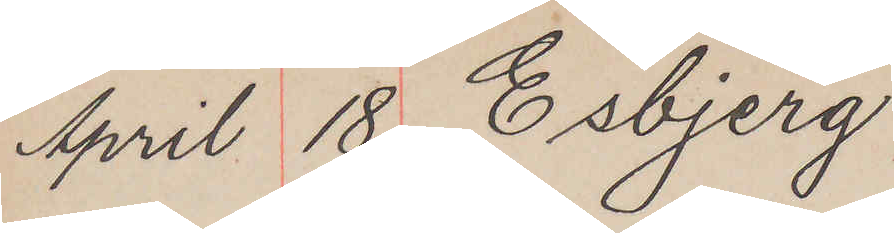April 18 Esbjerg
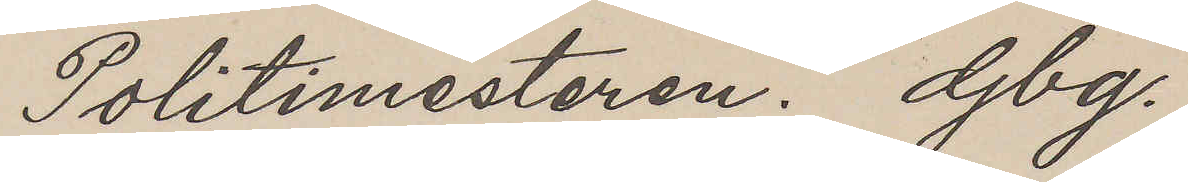Politimesteren. Gbg.
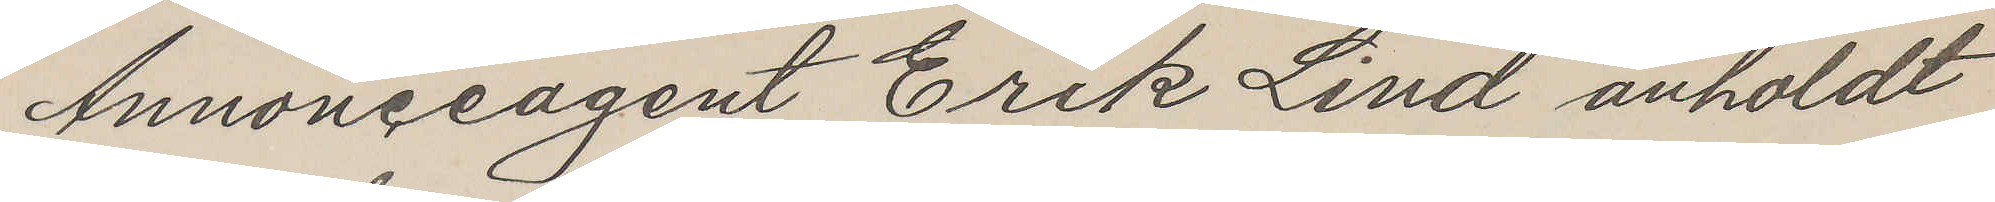Annonceagent Erik Lind anholdt
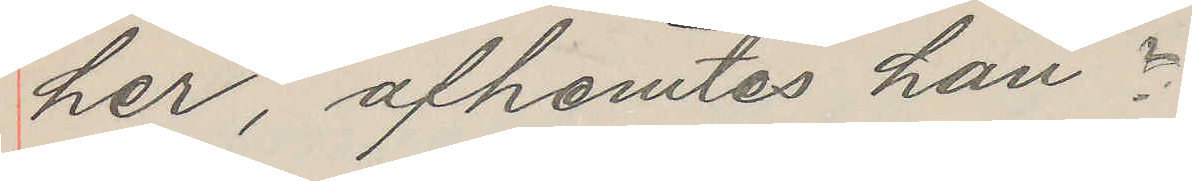her, afhemtes han?
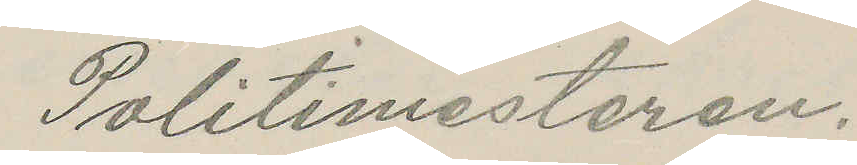Politimesteren.
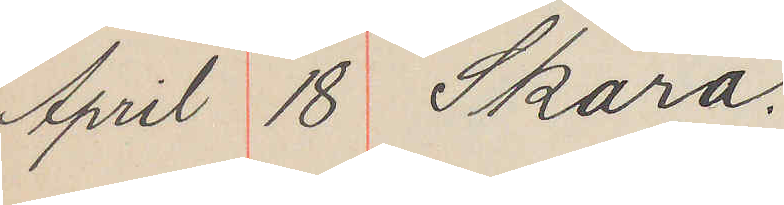April 18 Skara.
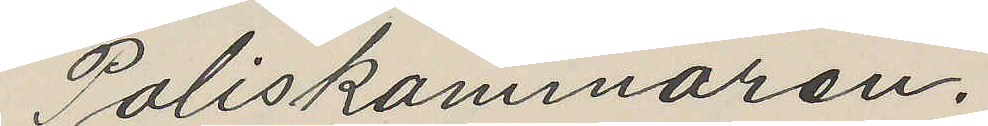Poliskammaren.
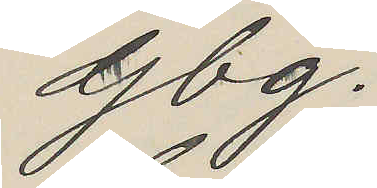Gbg.
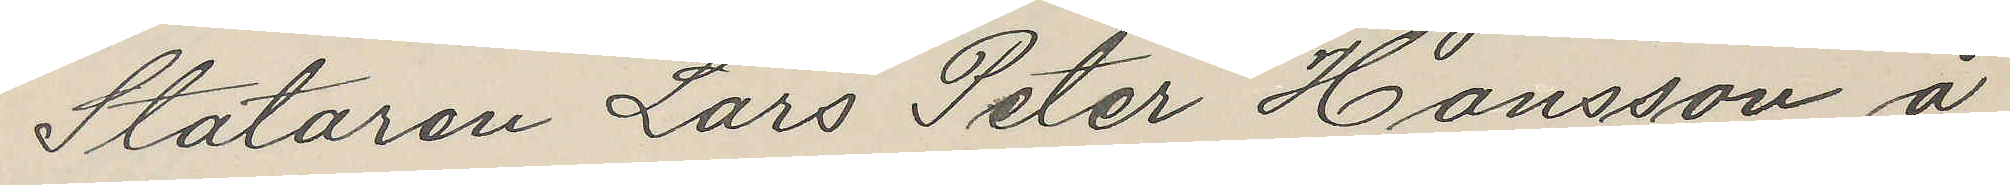Stataren Lars Peter Hansson å
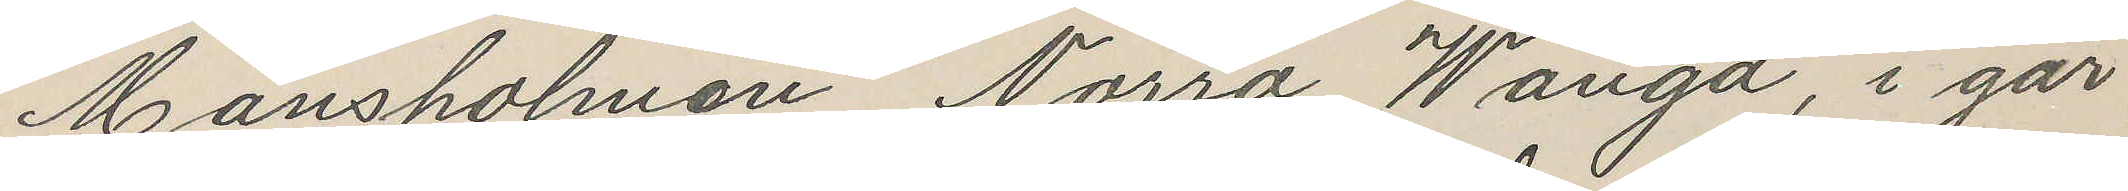Månsholmen Norra Wånga, i går
